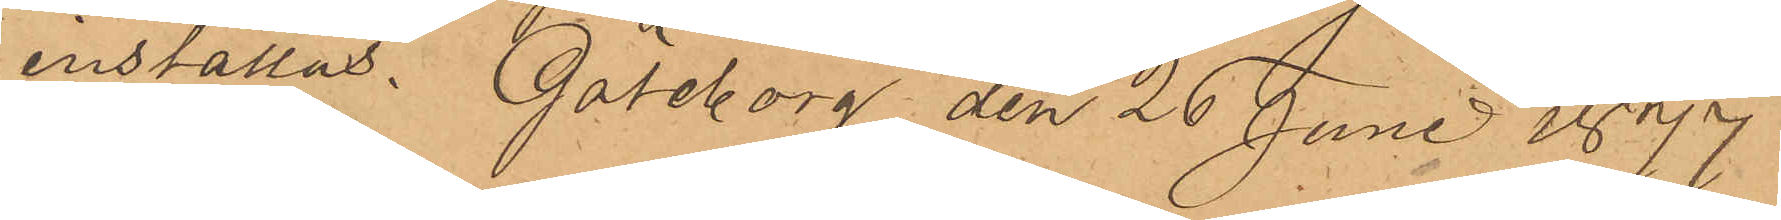inställas. Göteborg den 26 Juni 1877.
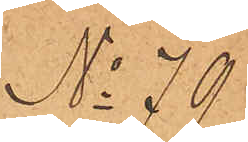No 79.
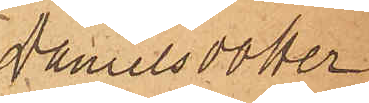Danielsdotter
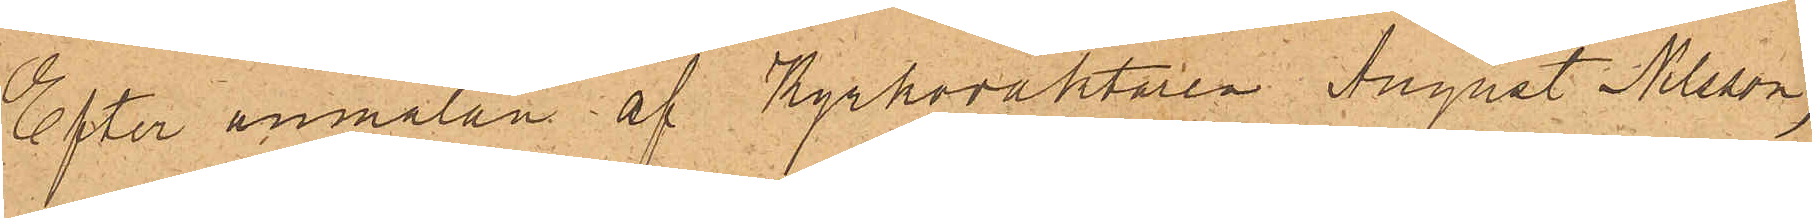Efter anmälan af Kyrkoväktaren August Nilsson,
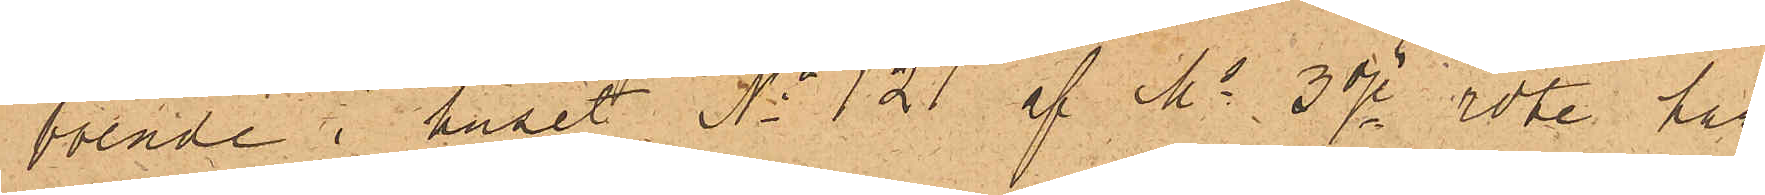bolade i huset No 121 af No 3dje rote, har
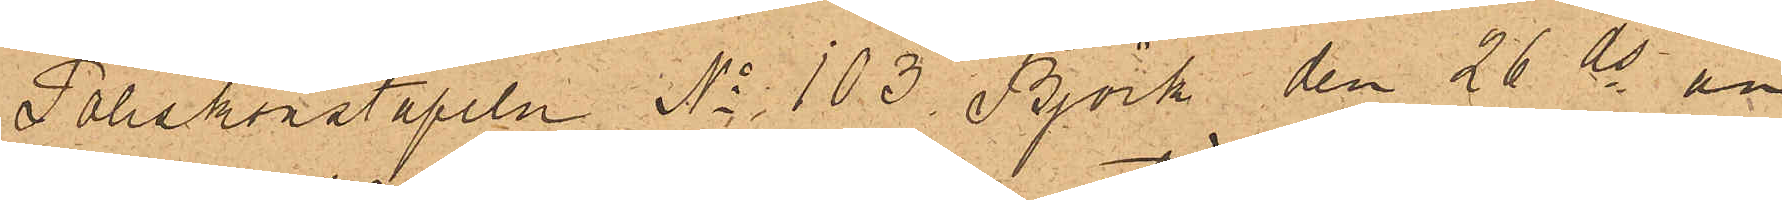Poliskonstapeln No 103 Björk den 26 ds an¬
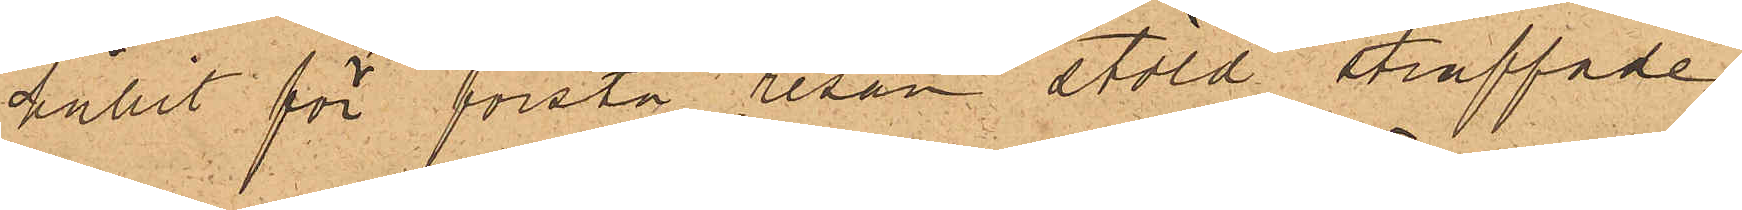hållit för första resan stöld straffade
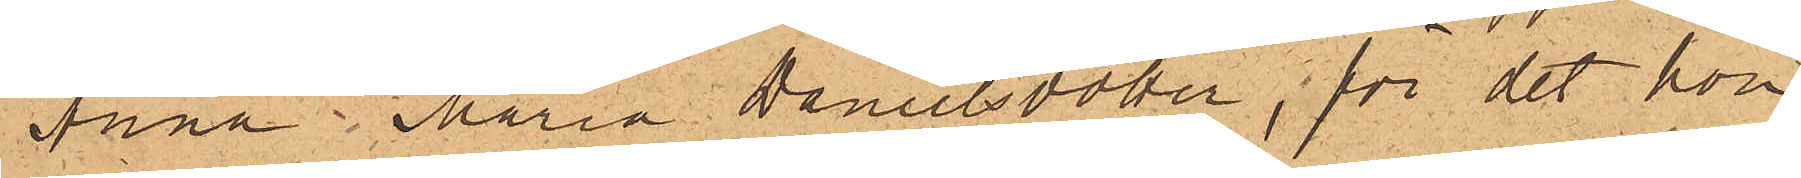Anna Maria Danielsdotter, för det hon
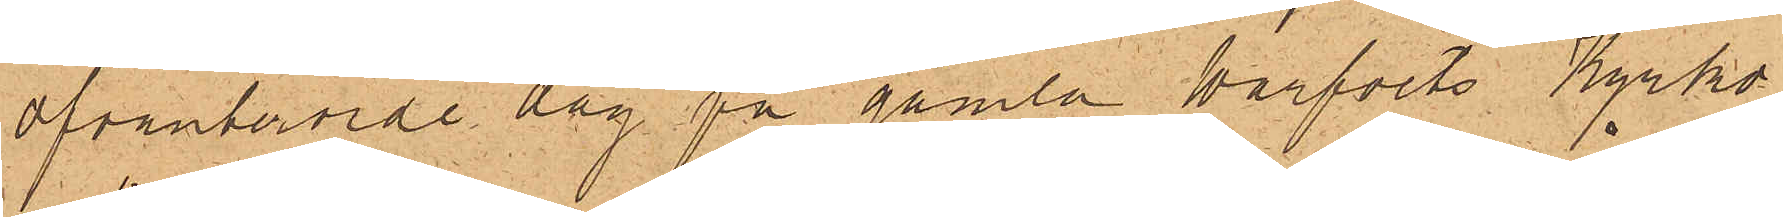ofvanberörde dag på gamla warfvets Kyrko¬
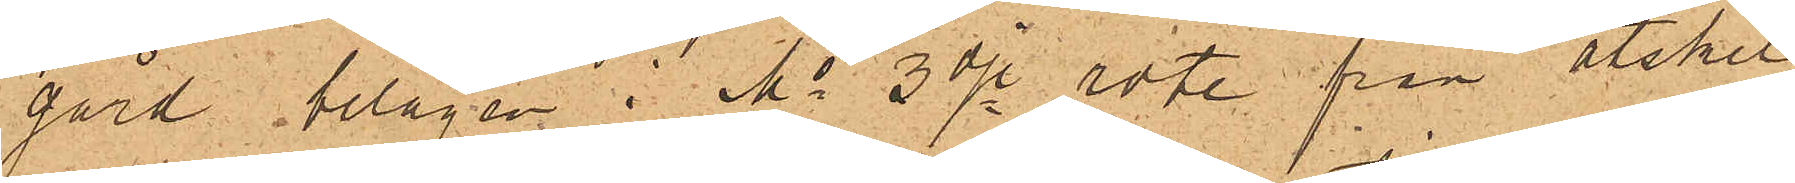gård belägen i No 3dje rote, från åtskil¬
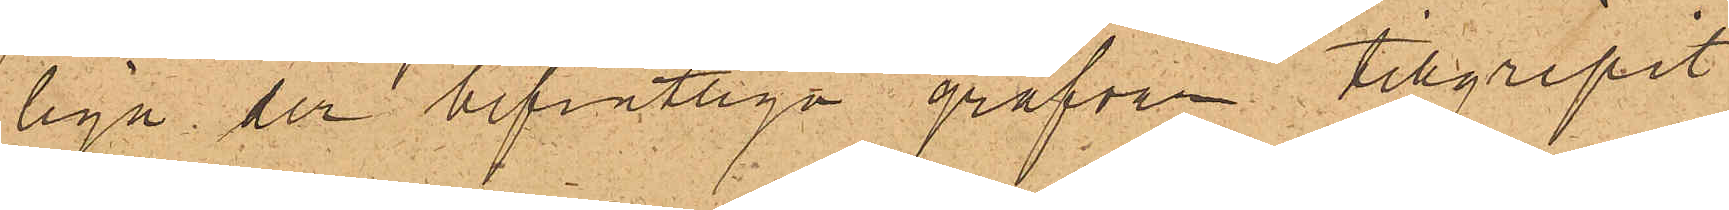liga der befintliga grafvar tillgripit
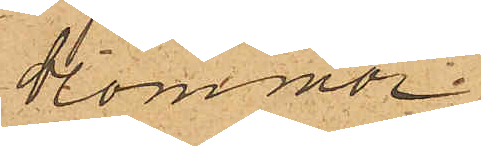blommor
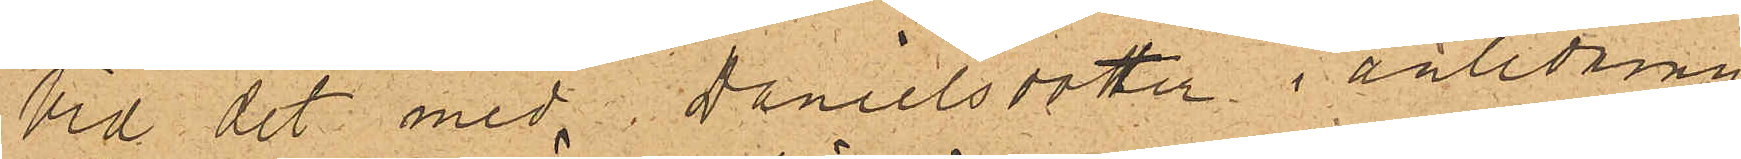Vid det med Danielsdotter i anledning
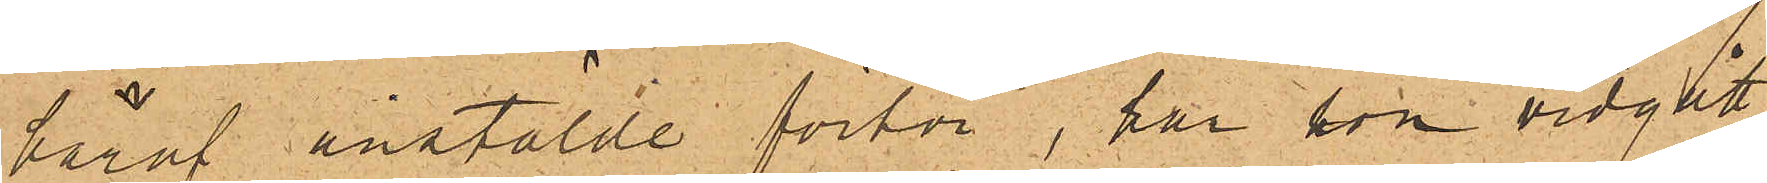häraf anstälde förhör, har hon vidgått
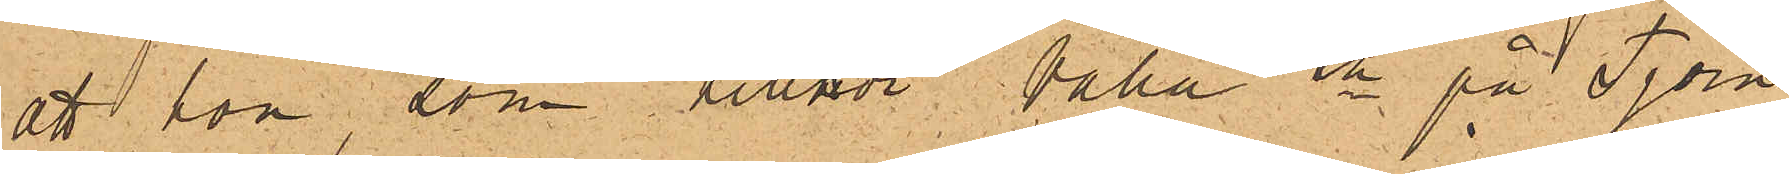att hon som tillhör Valla sn på Tjörn
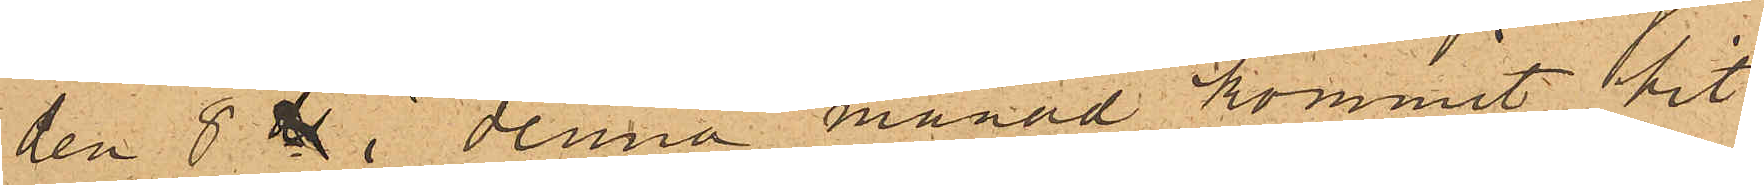den 8 ds i denna månad kommit hit
